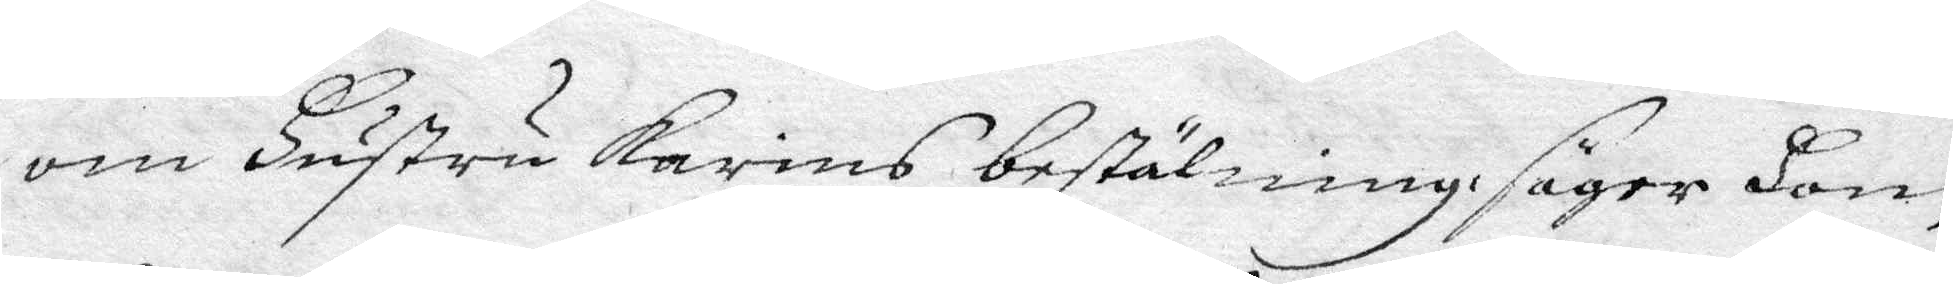som Hustru Karins bestälning säger Hon,
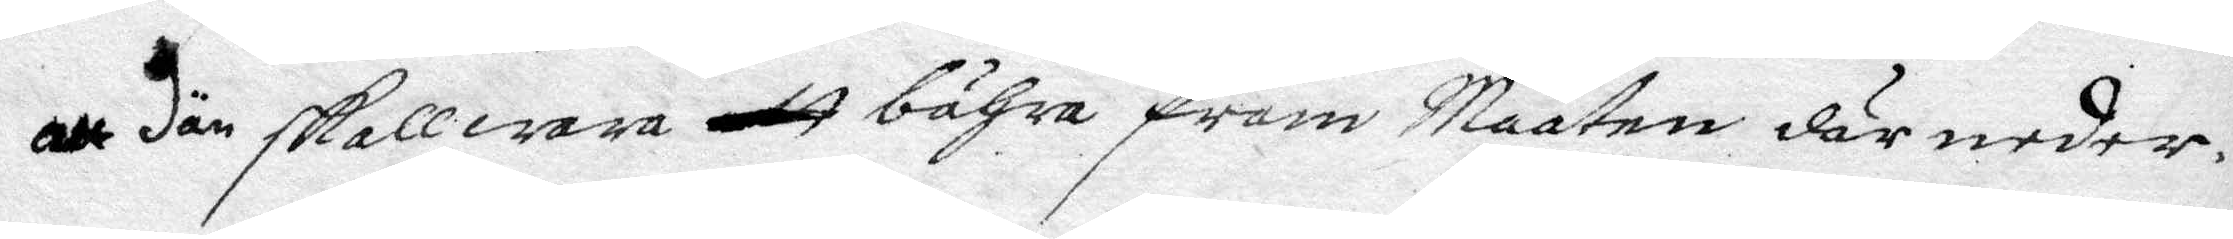att dän skall wara att bähra fram Maaten där neder,
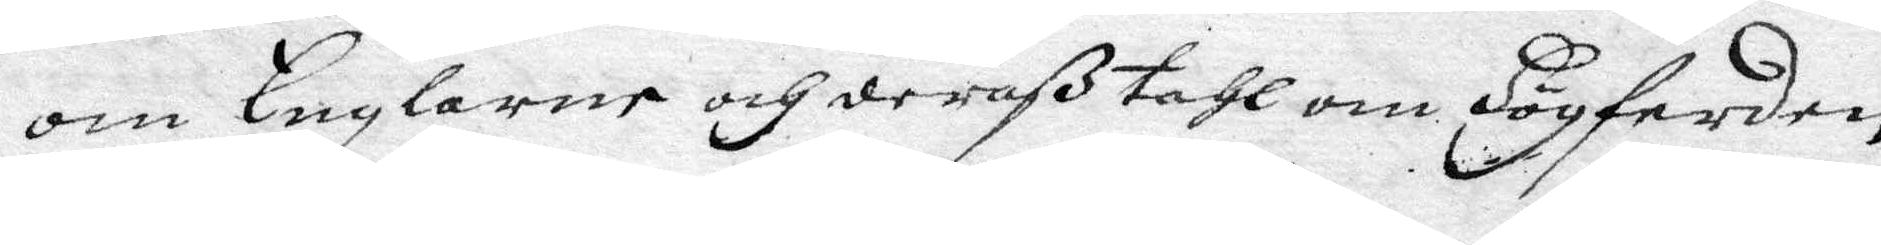om Englarne och deraß tahl om Högferden
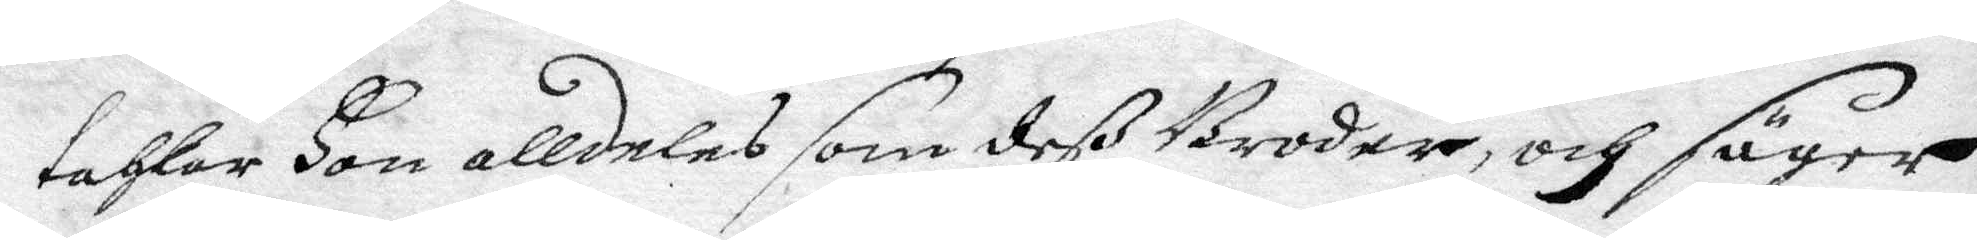tahlar Hon alldeles som deß Broder, och säyer
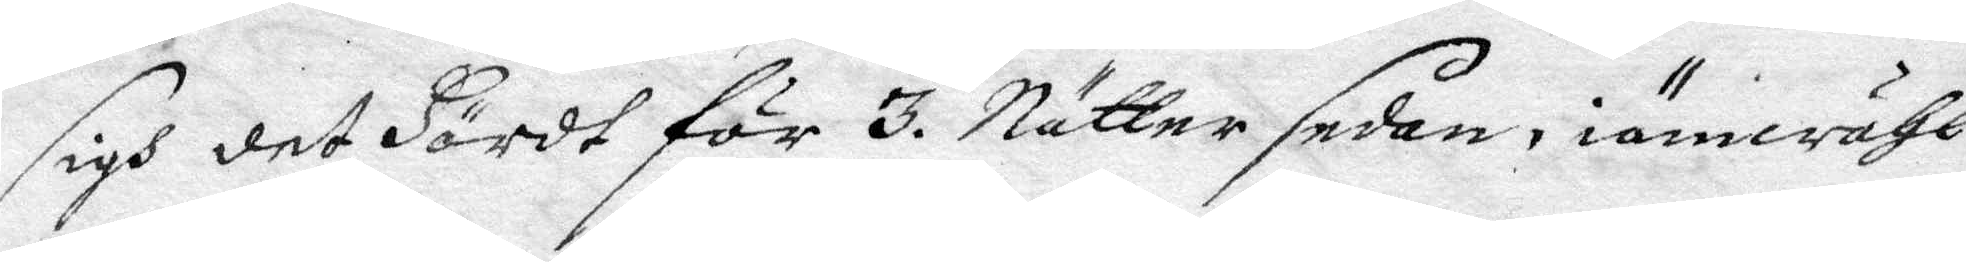sigh det Hördt för 3. Nätter sedan, iämwähl
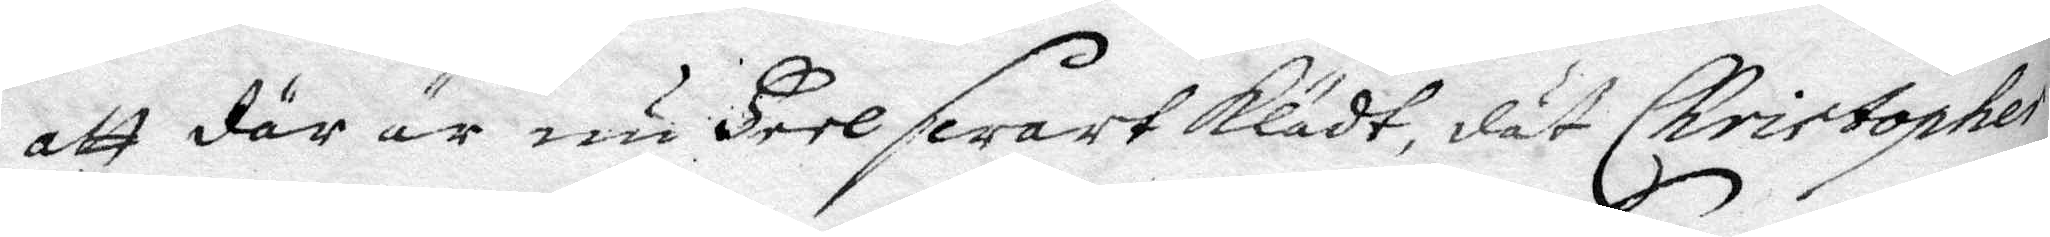att där är nu Heel swart klädy, dät Christopher
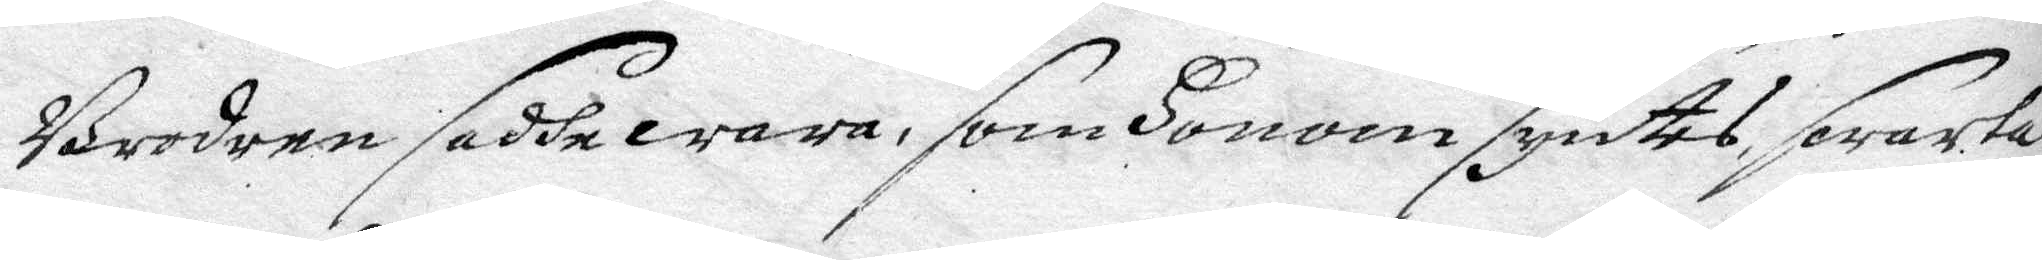Brodern sedde wara, som Honom syntes, swarta
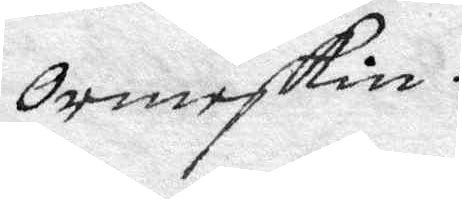ormskin.
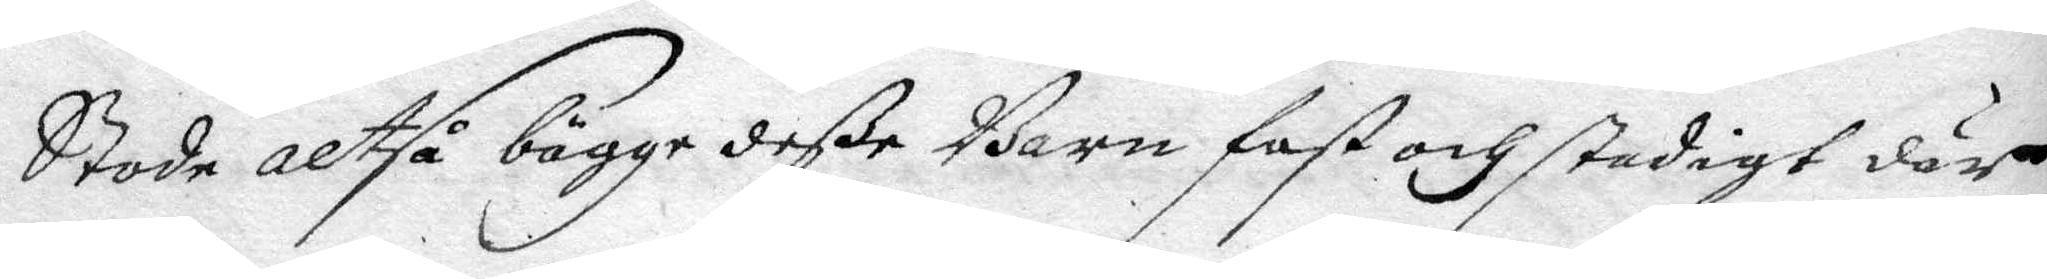Stodo altså bägge deße Barn fast och stadigt där
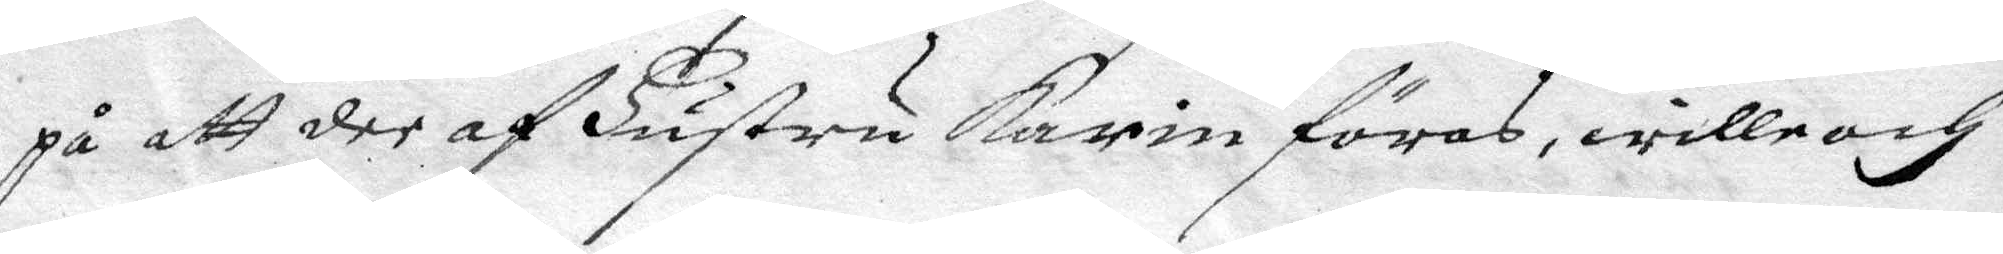på att dee af Hustru Karin föras, wille och
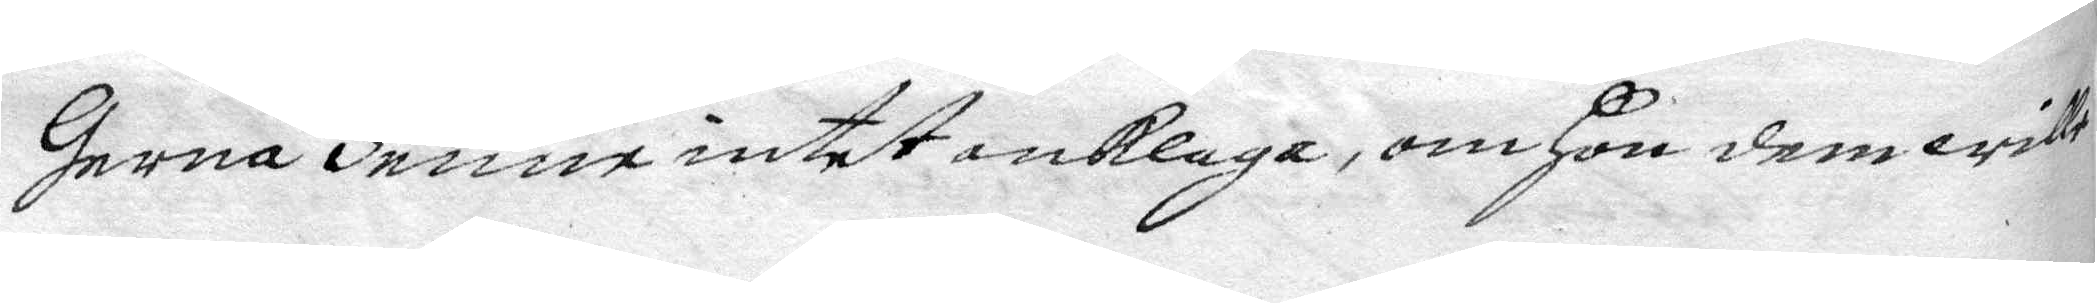Gerne Henne intet anklaga, om Hon dem wille
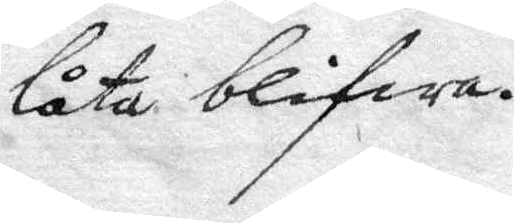låta blifwa.
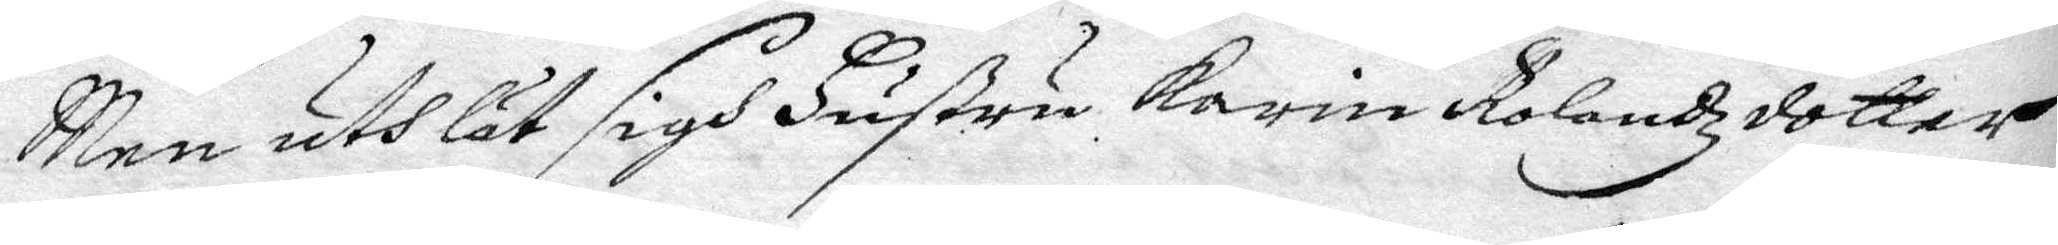Men uthlät sigh Hustru Karin Rolandzdotter
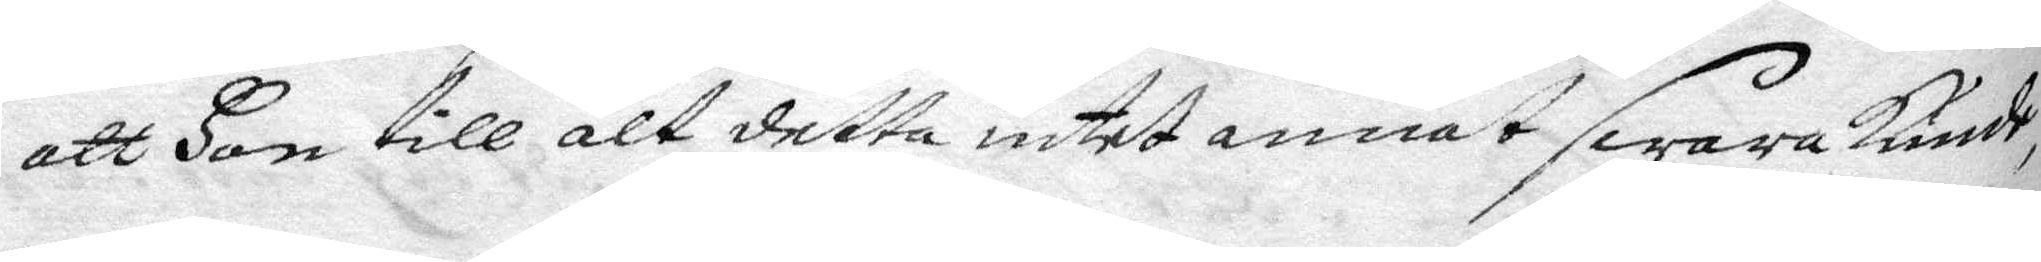att Hon till alt detta intet annat swara kunde,
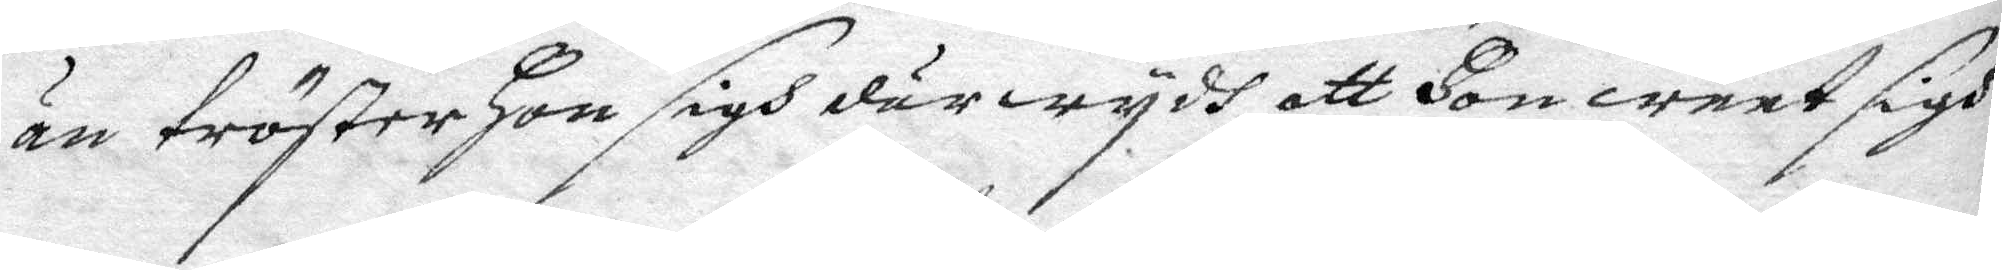än tröster Hon sigh därwydh att Hon weet sigh
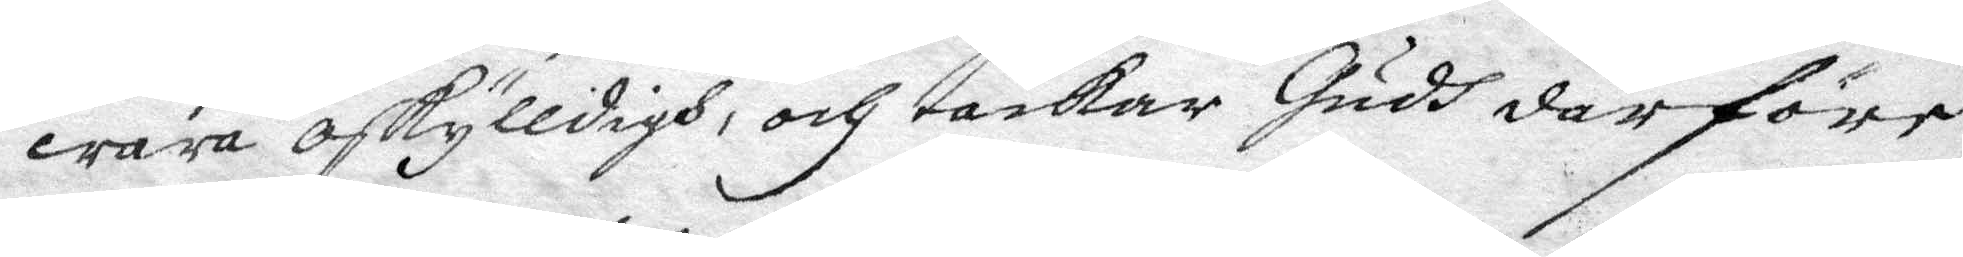wara oskyldigh, och tackar Gudh därföre
